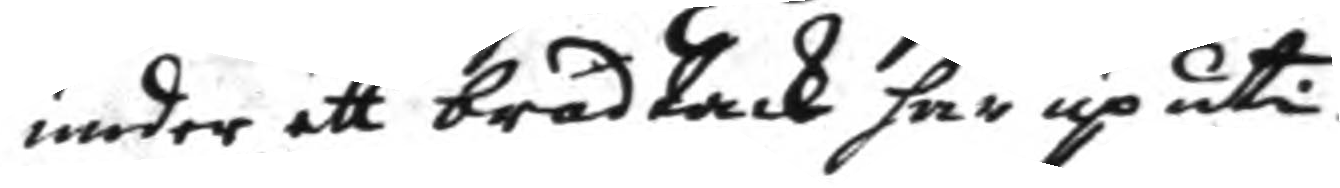under ett bräd tack här up uti
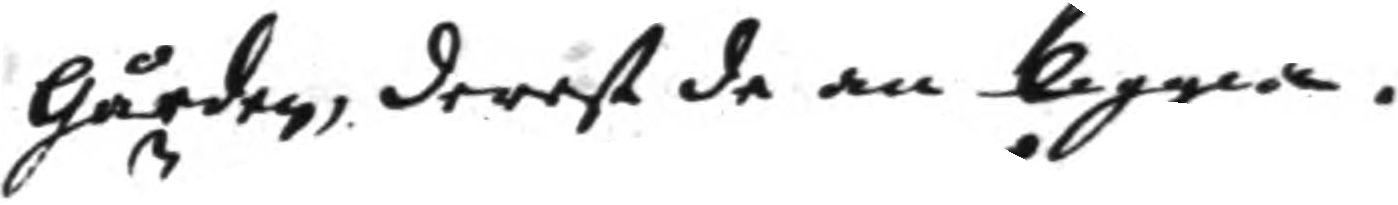gården, derest de än liggia.
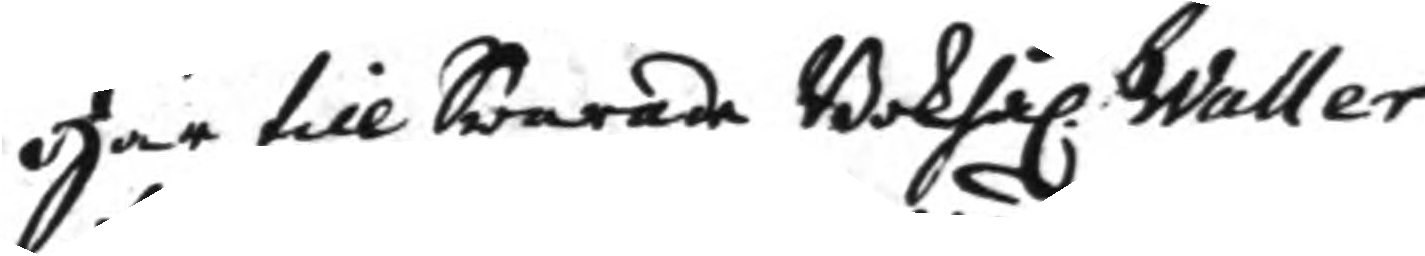Här till Swarade Bohhål. Waller
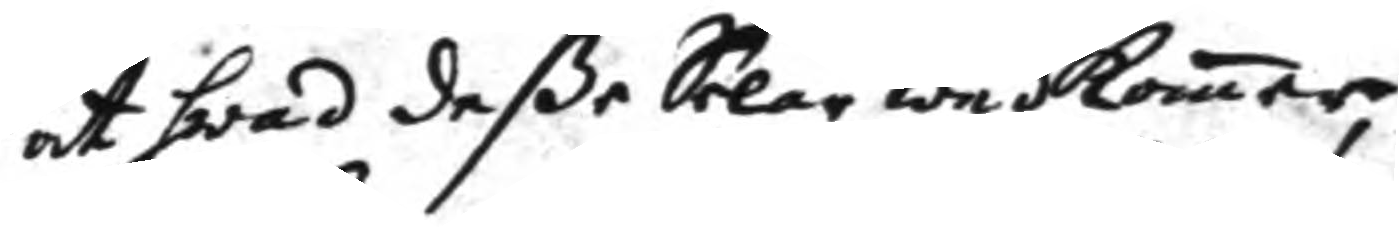att hwad deße Selar wedkomer,
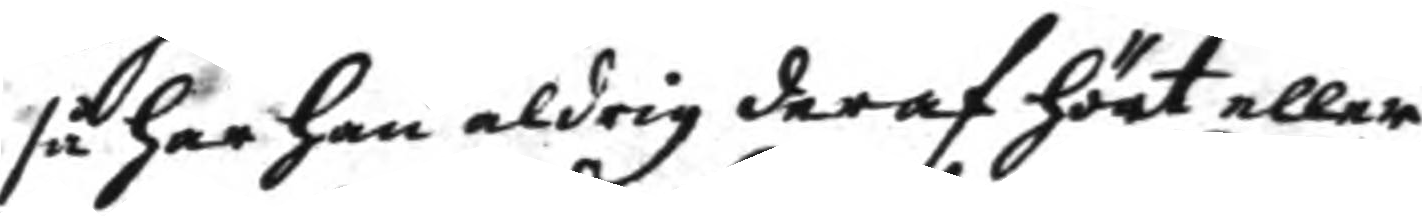så har han aldrig deraf hört eller
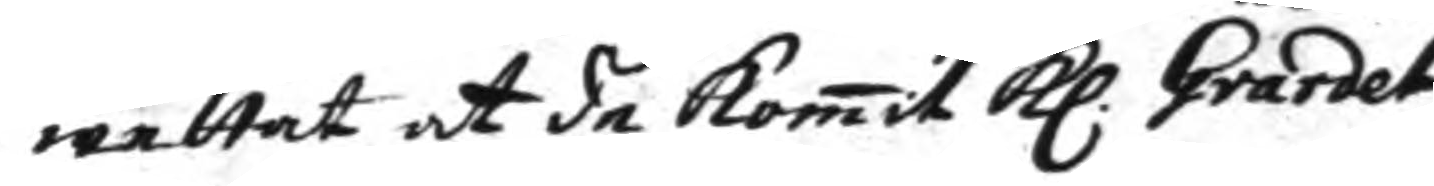wettat at de komit Kl. Gvardet
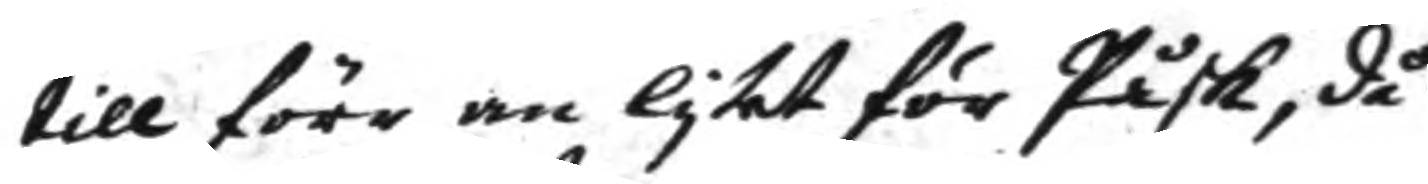till förr än lytet för Påsk, då
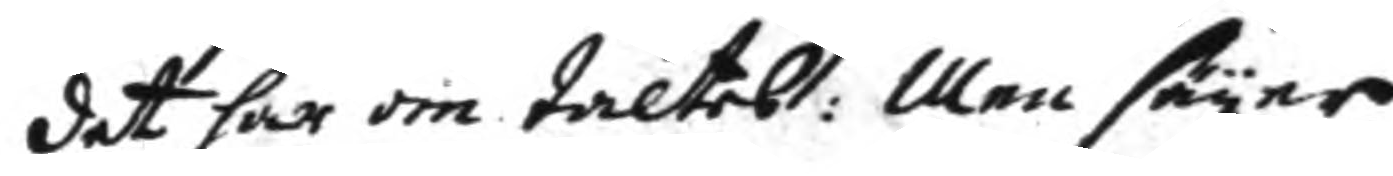det här om taltes: Men säyer
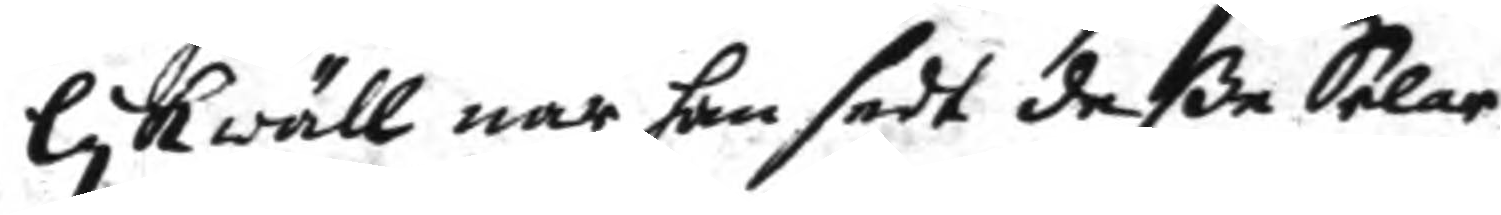lykwäll när han sedt deße Selar
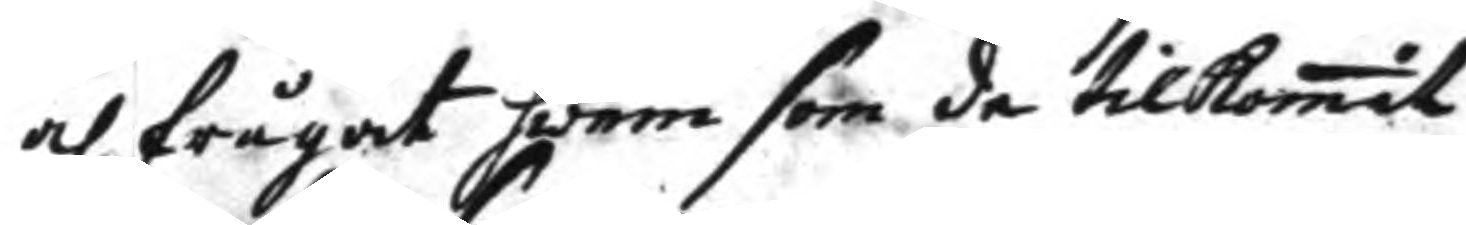och frågat hwem som de tillkomit
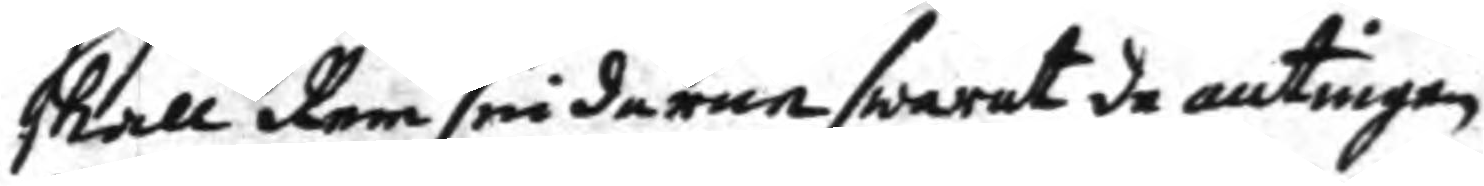skall remsmidaren swarat de antingen
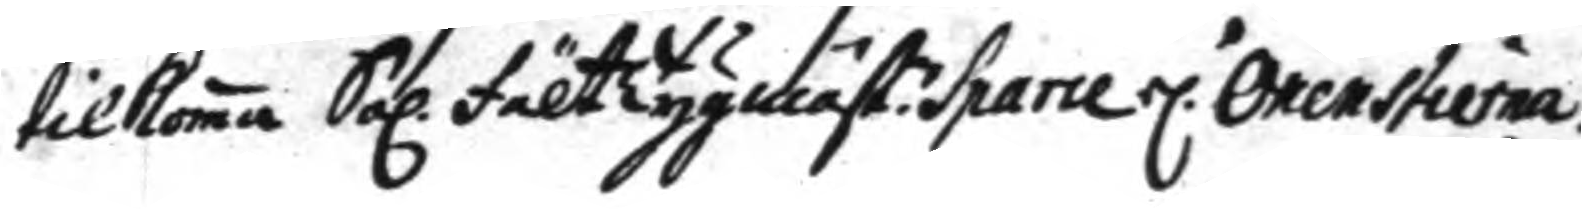tilkoma Sal. fälttygmäst: Sparre el.r Oxenstierna
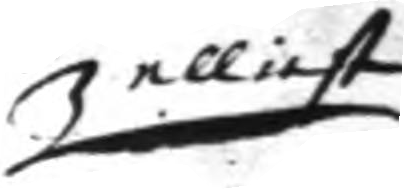elliest
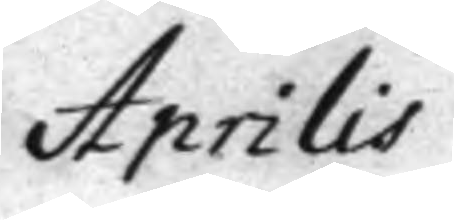Aprilis
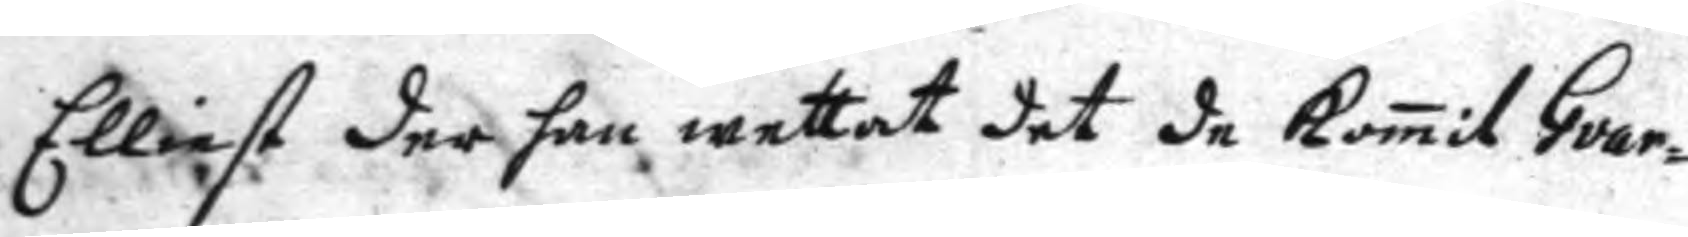Elliest der han wettat det de Komit Guar¬
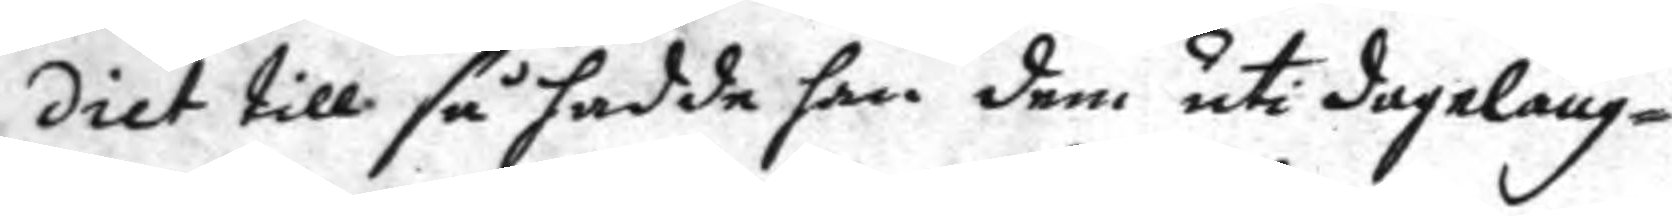diet till så hadde han dem uti dageläng¬
